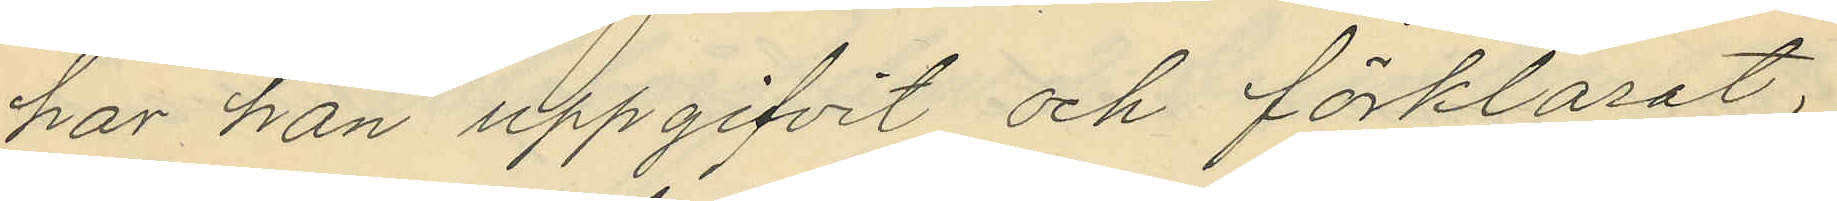har han uppgifvit och förklarat,
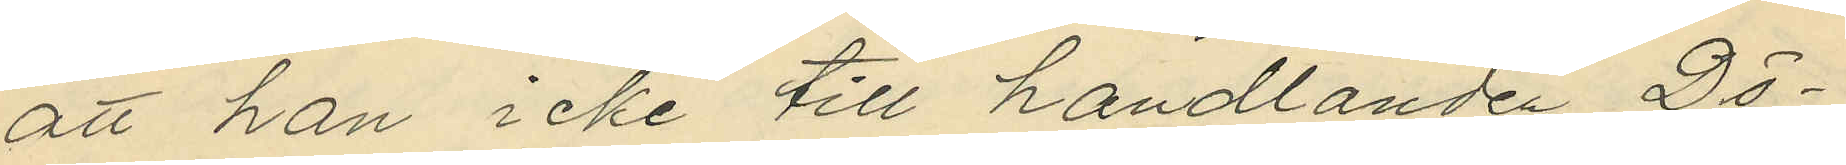att han icke till handlanden Dö¬
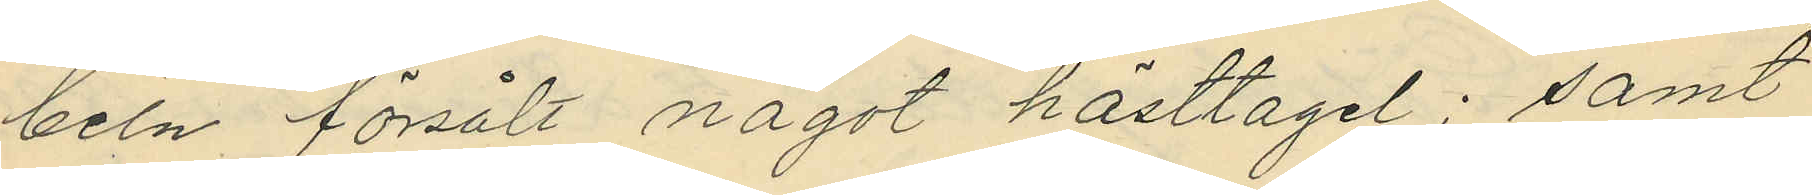beln försålt något hästtagel; samt
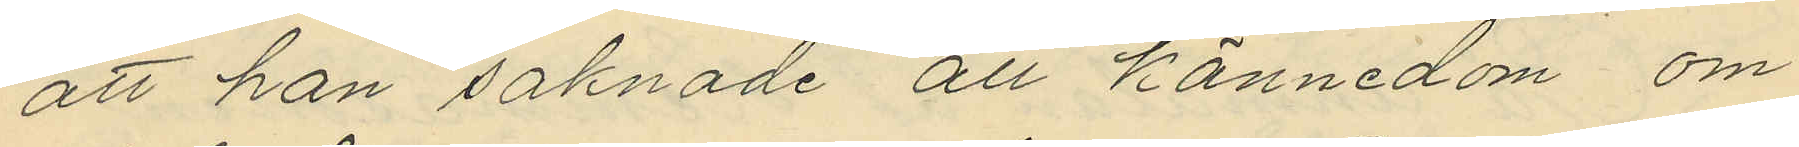att han saknade all kännedom om
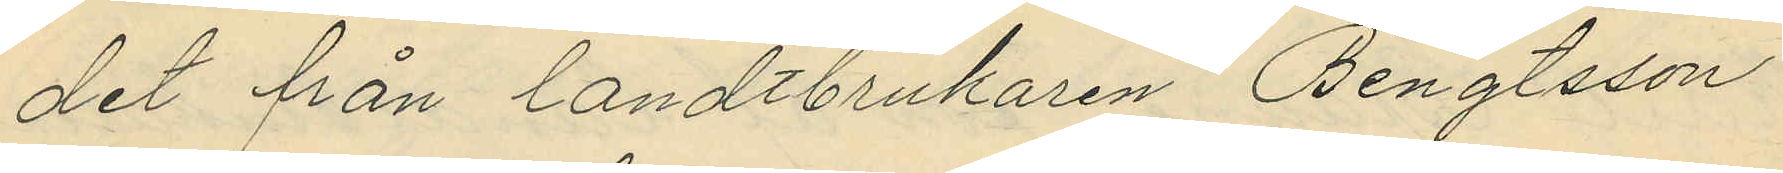det från landtbrukaren Bengtsson
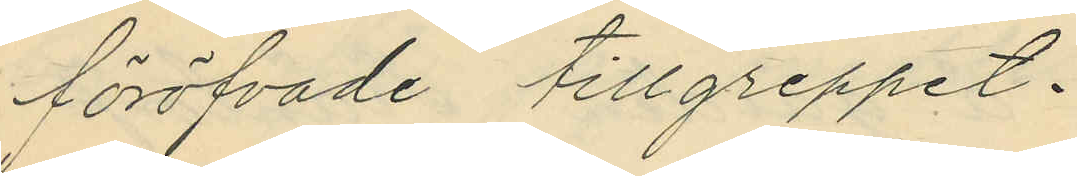föröfvade tillgreppet.
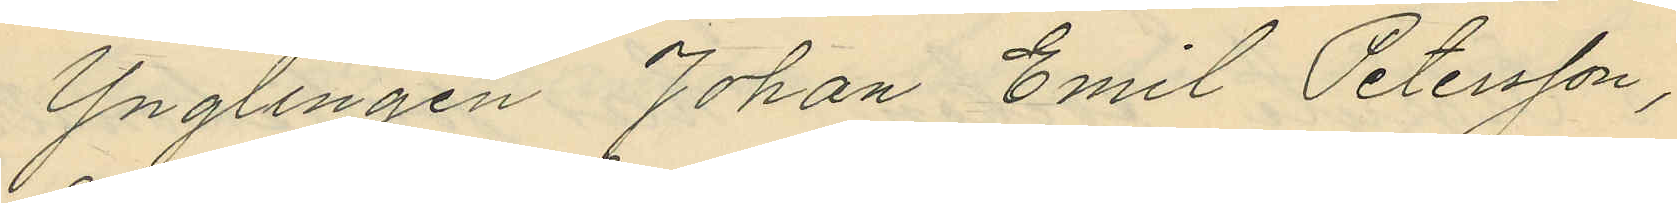Ynglingen Johan Emil Petersson,
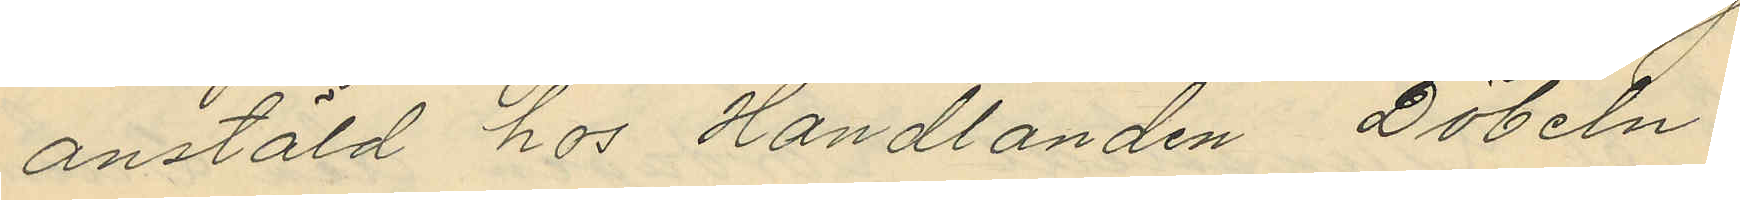anstäld hos Handlanden Döbeln,
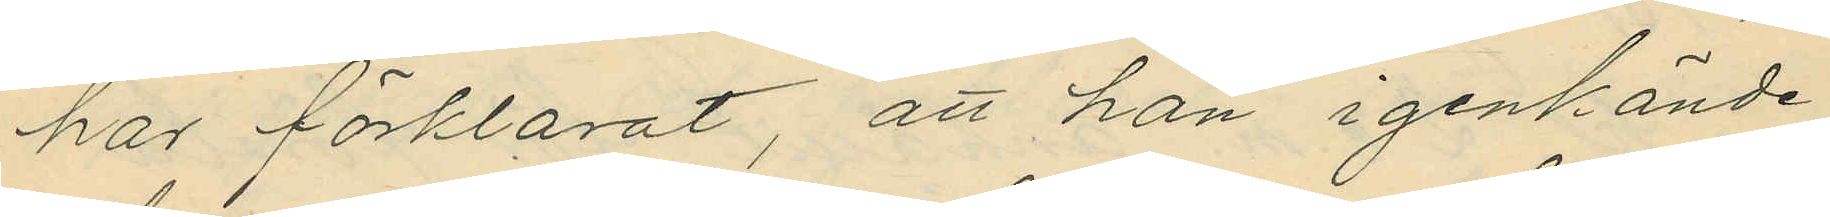har förklarat, att han igenkände
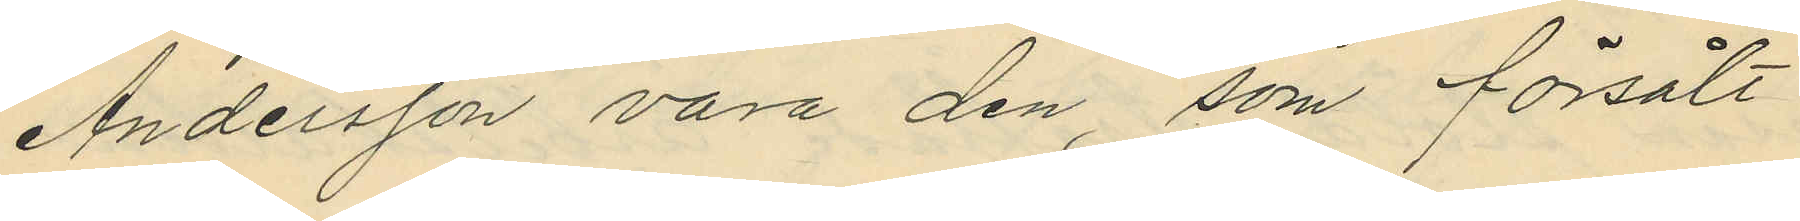Andersson vara den, som försålt
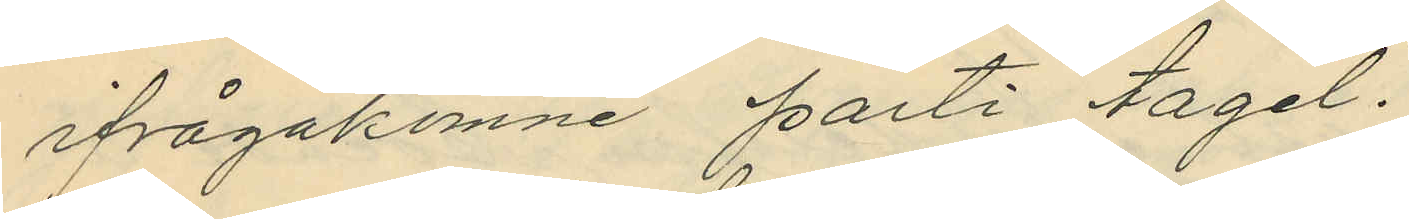ifrågakomne parti tagel.
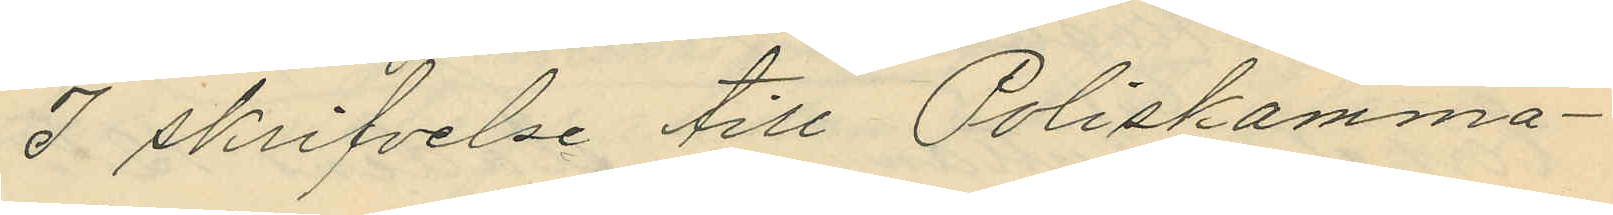I skrifvelse till Poliskamma¬
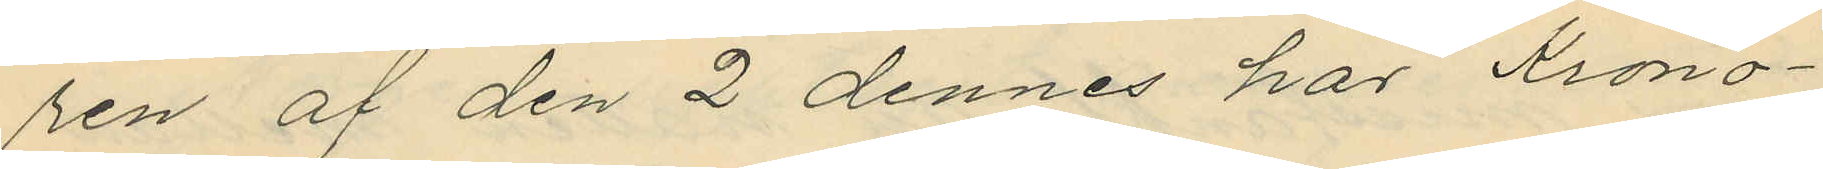ren af den 2 dennes har Krono¬
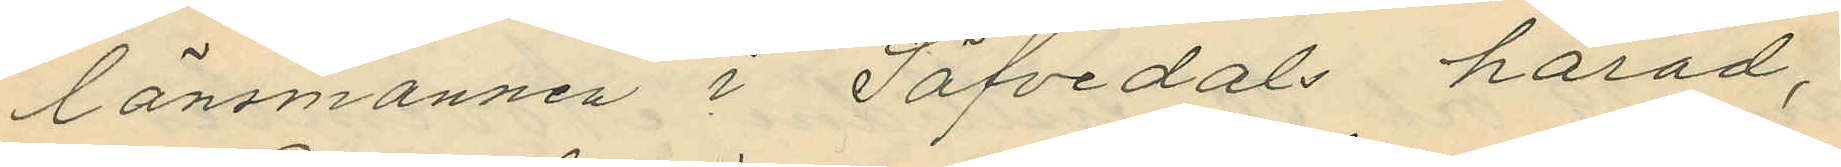länsmannen i Säfvedals härad,
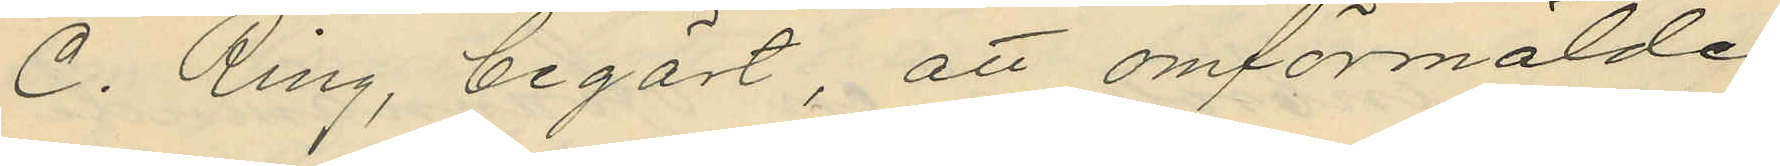C. Ring, begärt, att omförmälde
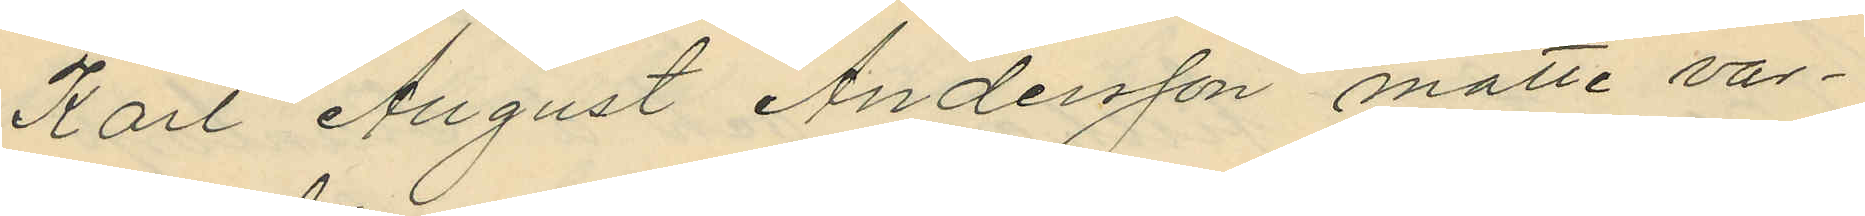Karl August Andersson måtte var¬
